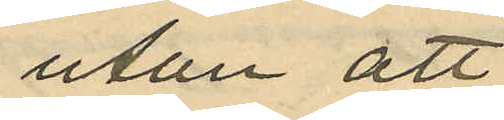utan att
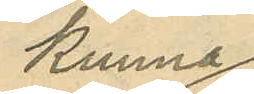kunna
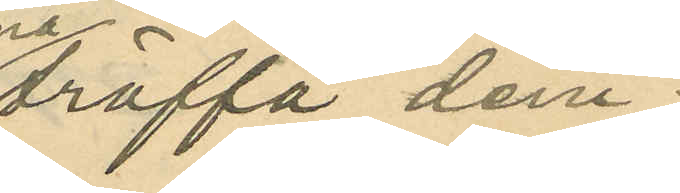träffa dem;
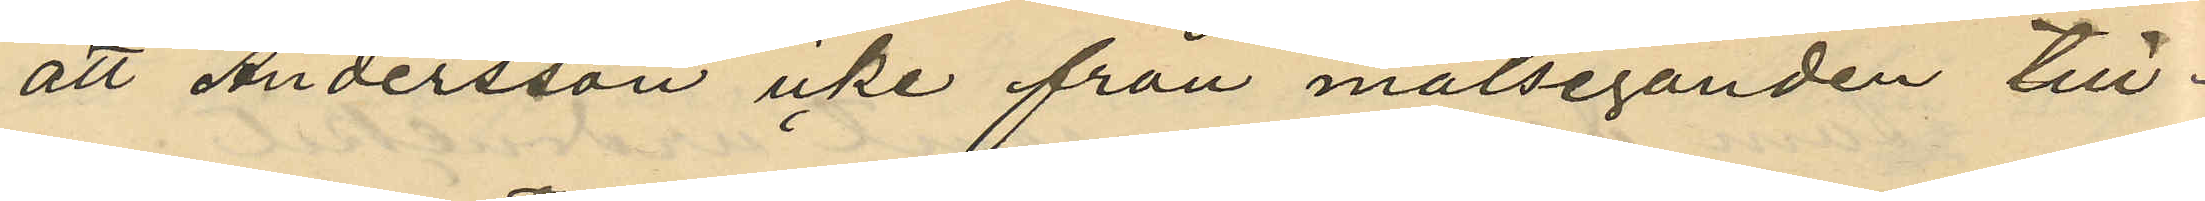att Andersson icke från målseganden till¬
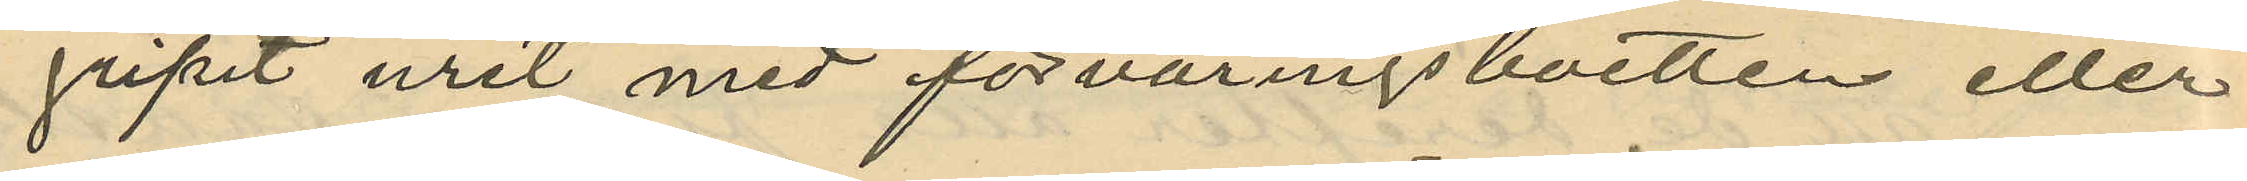gripit uret med förvaringsboetten eller
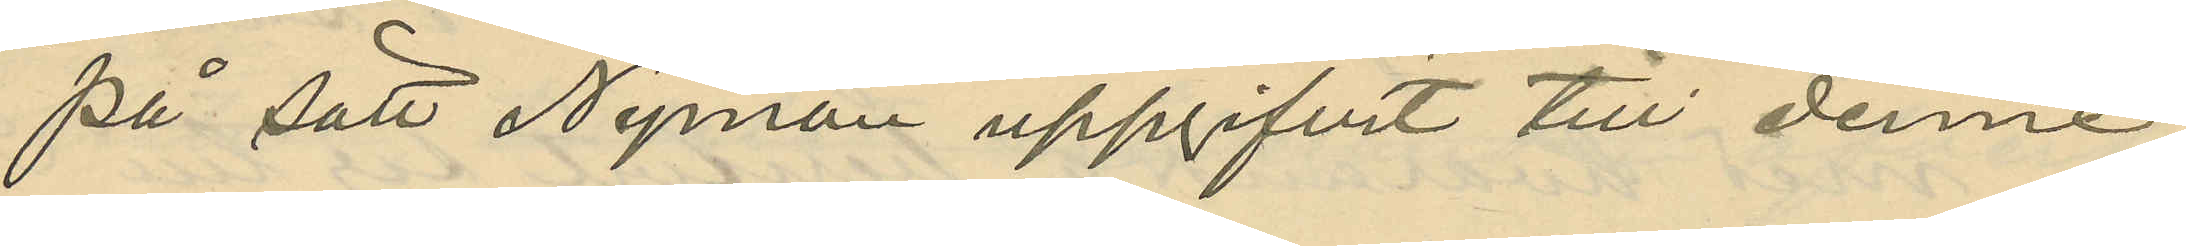på sätt Nyman uppgifvit till denne
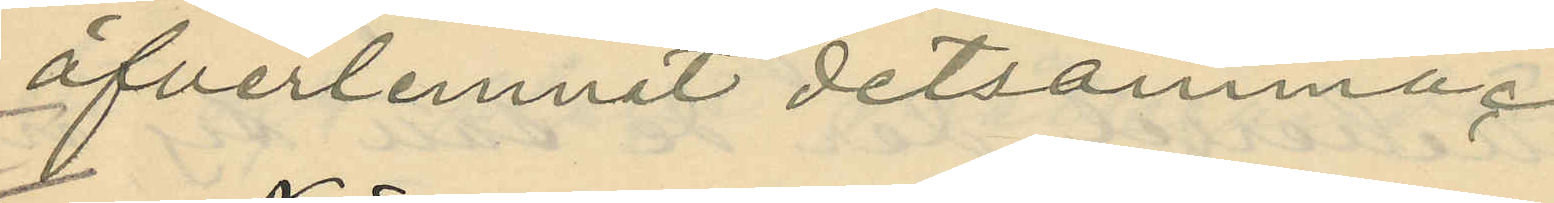öfverlemnat detsamma.
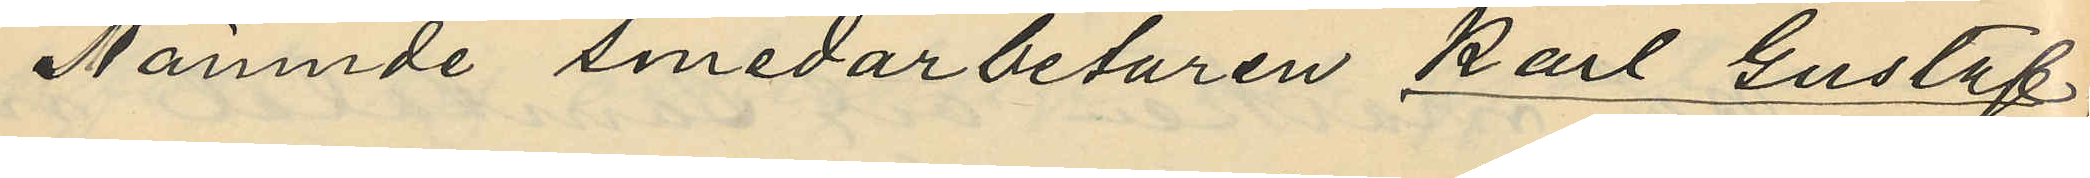Nämnde smedarbetaren Karl Gustaf
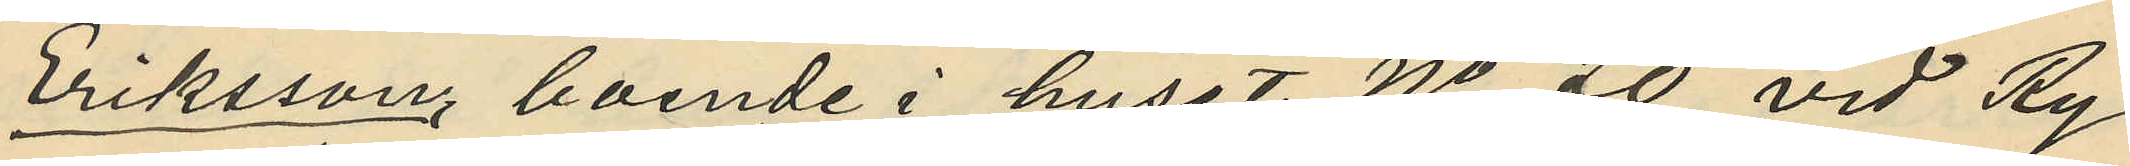Eriksson, boende i huset No 20 vid Ry¬
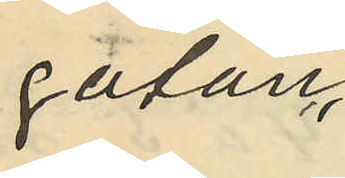gatan,
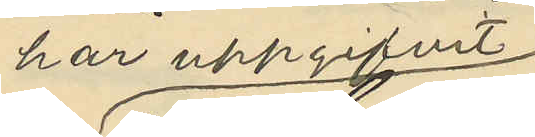har uppgifvit
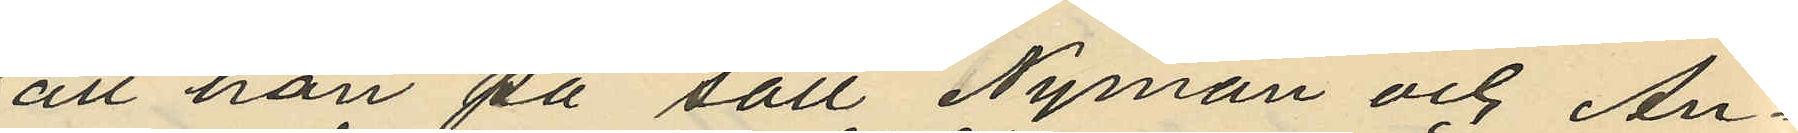att han på sätt Nyman och An¬
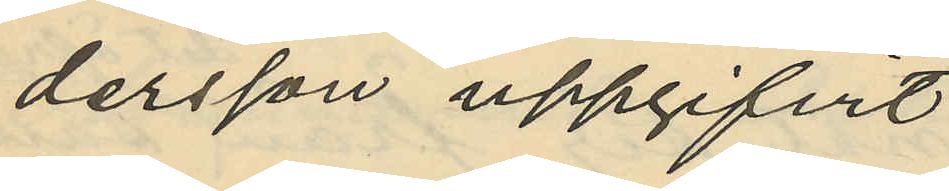dersson uppgifvit
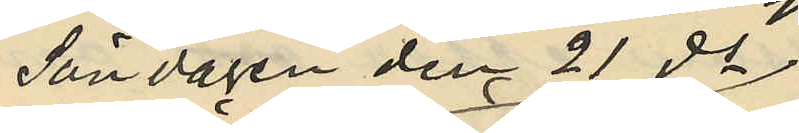Söndagen den 21 ds
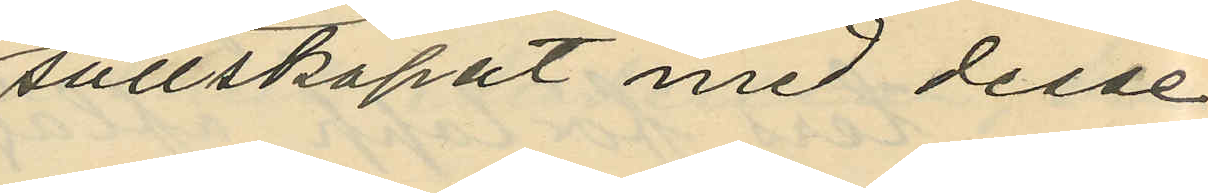sällskapat med desse
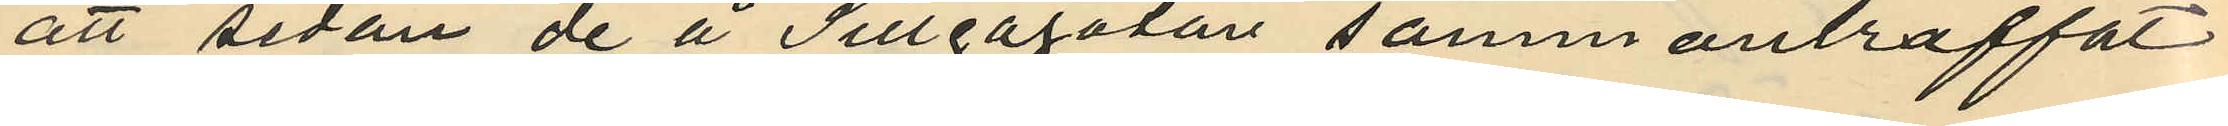att sedan de å Sillgagatan sammanträffat
